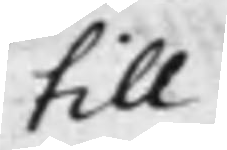till
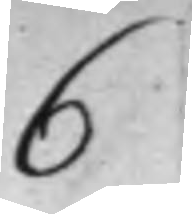6
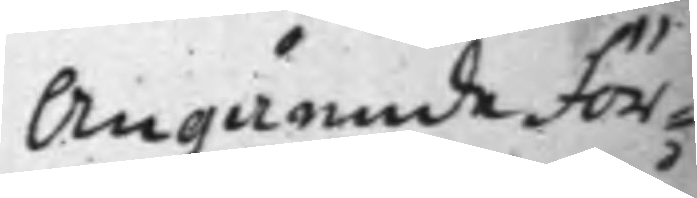Angående För¬
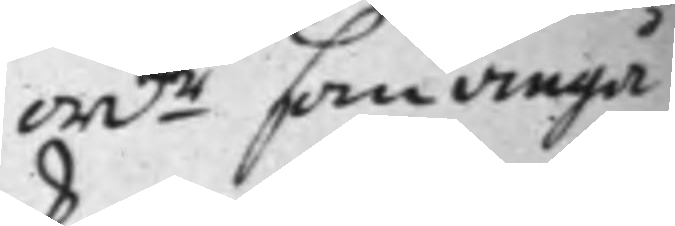ord.e som angå
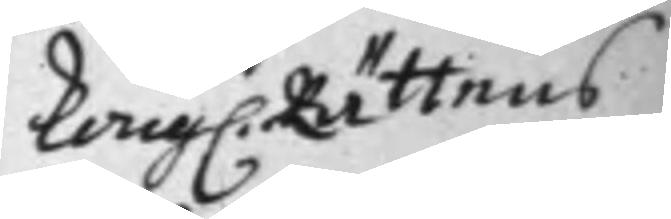Kong. Rättens
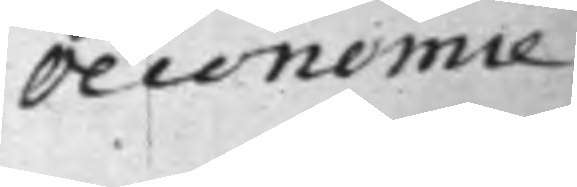Oeconomie
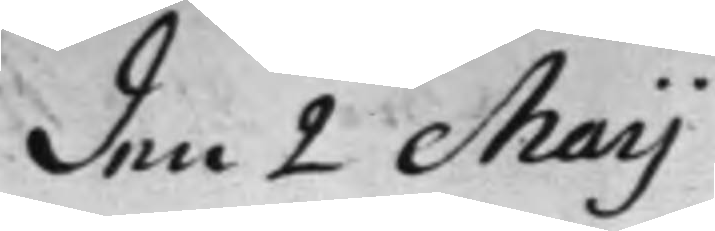den 2 Maij
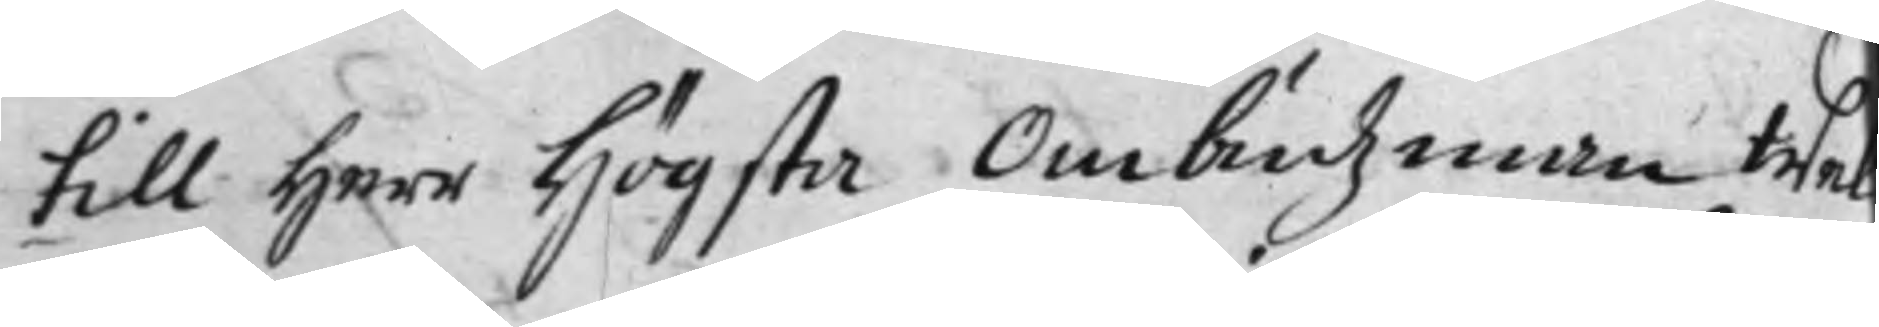till Herr Högsta Ombudzman Wel¬
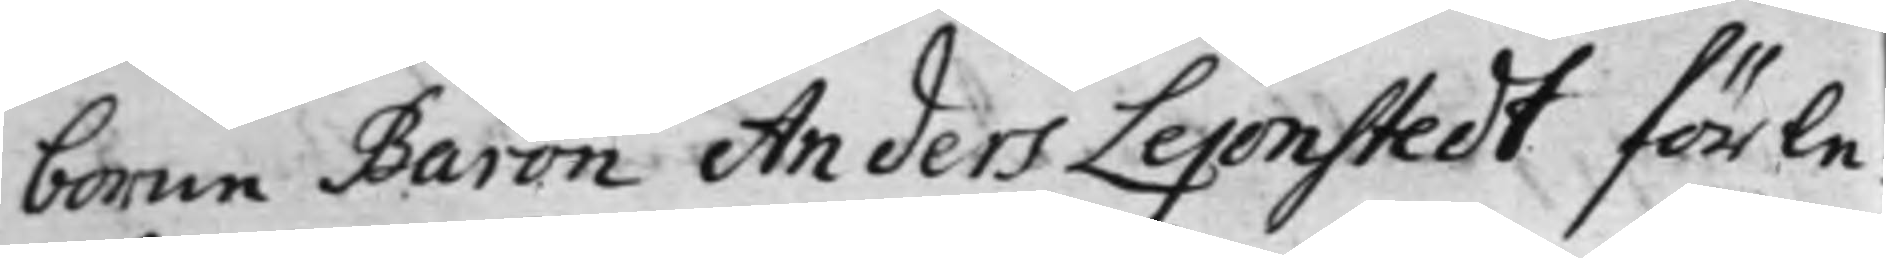borne Baron Anders Lejonstedt förle¬
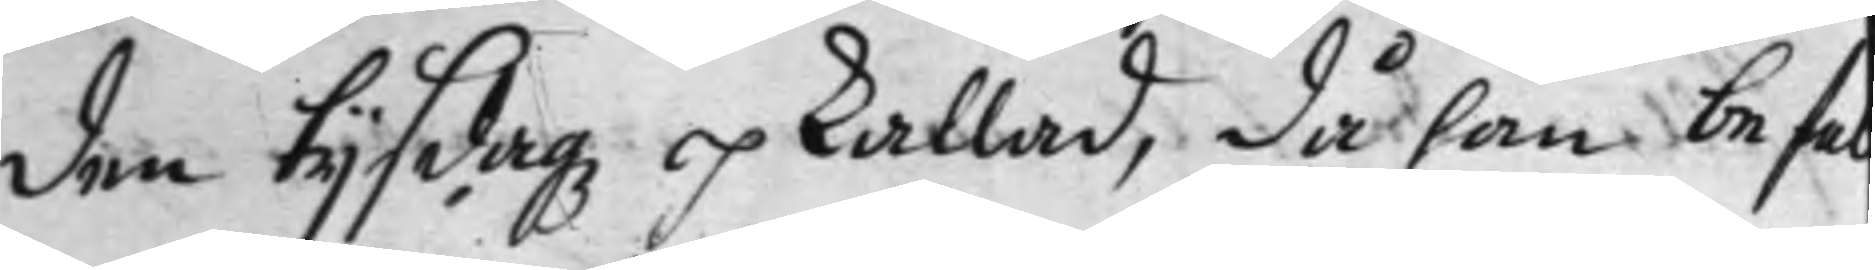den tijsdagz opkallad, då han befal
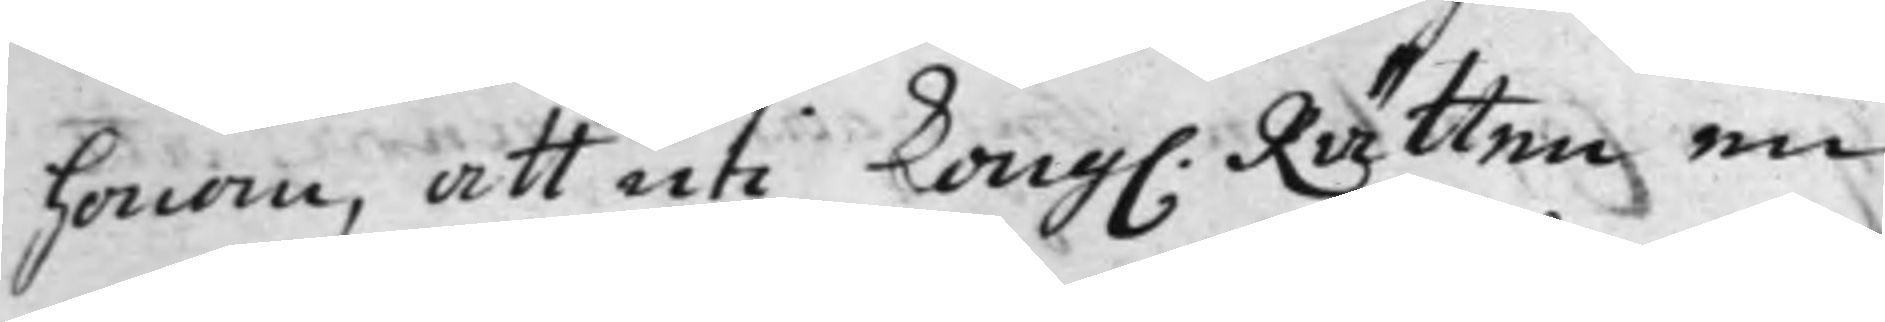honom, att uti Kong. Rätten en
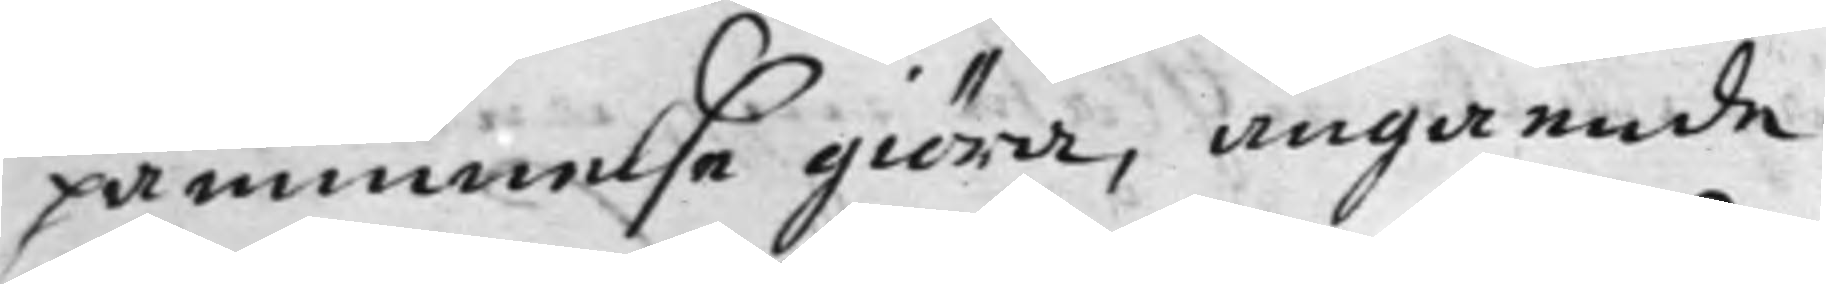påminnelse giöra, angående
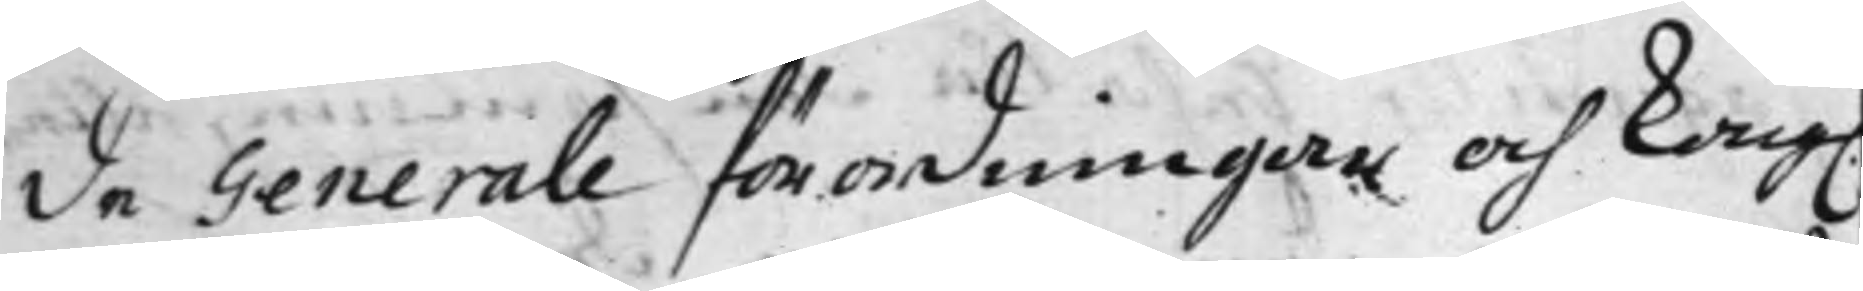de Generale förordningar och Kong.
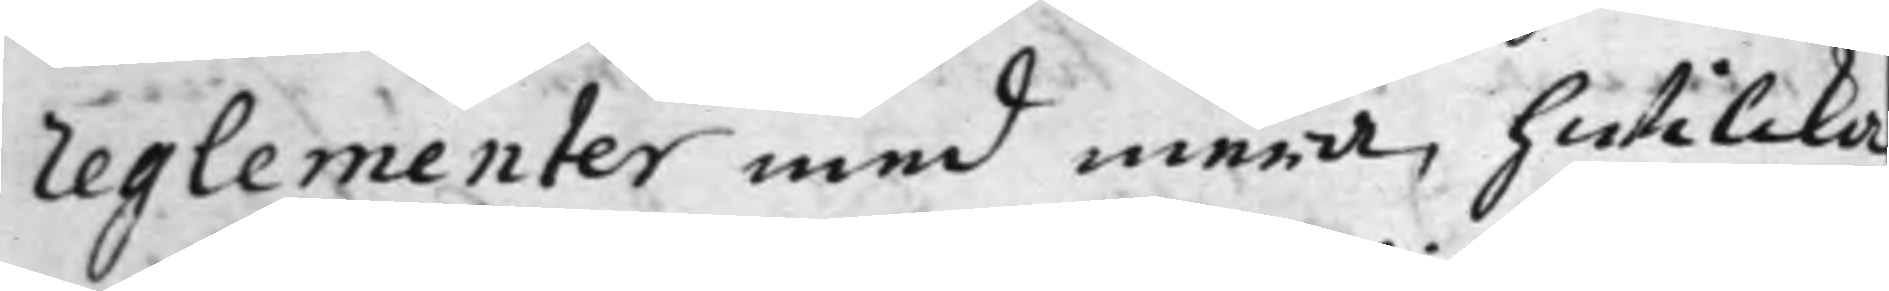reglementer med mera, hwilcka
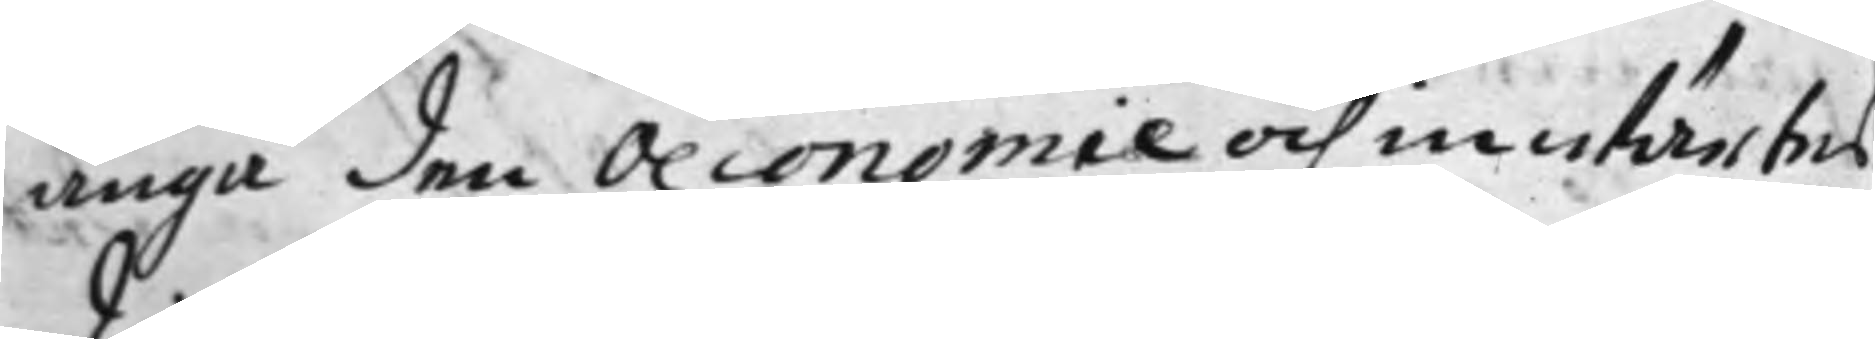angå den Oeconomie och inwärtes
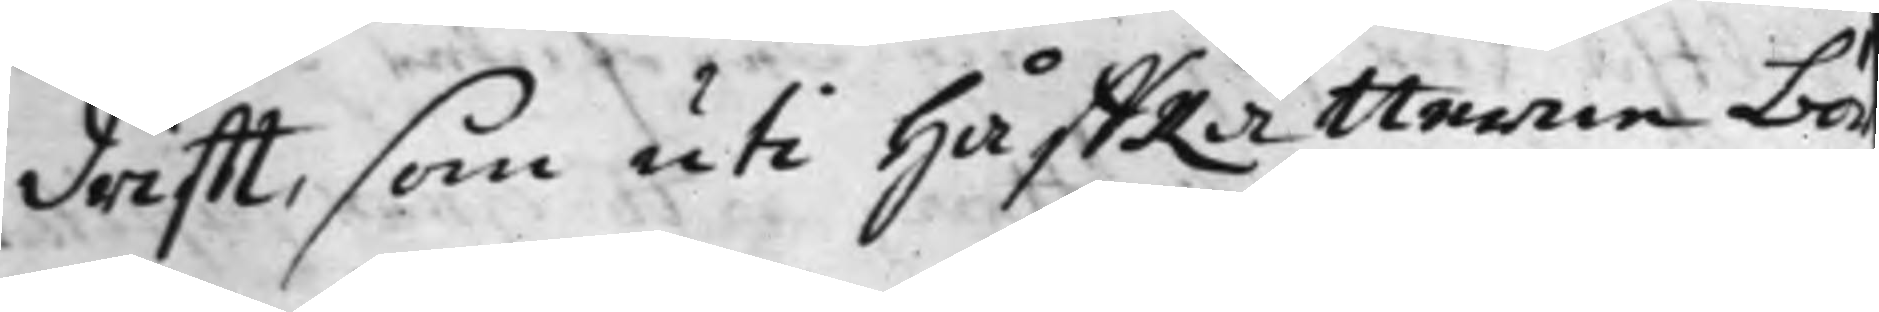drifft, som uti HåffRätterne bör
